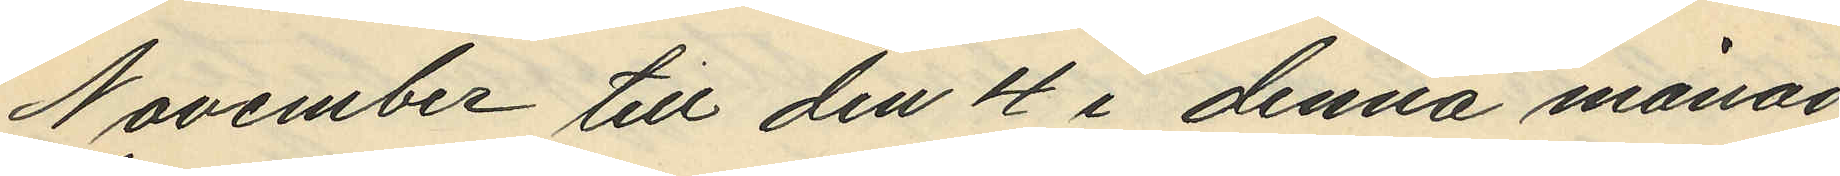November till den 4 i denna månad
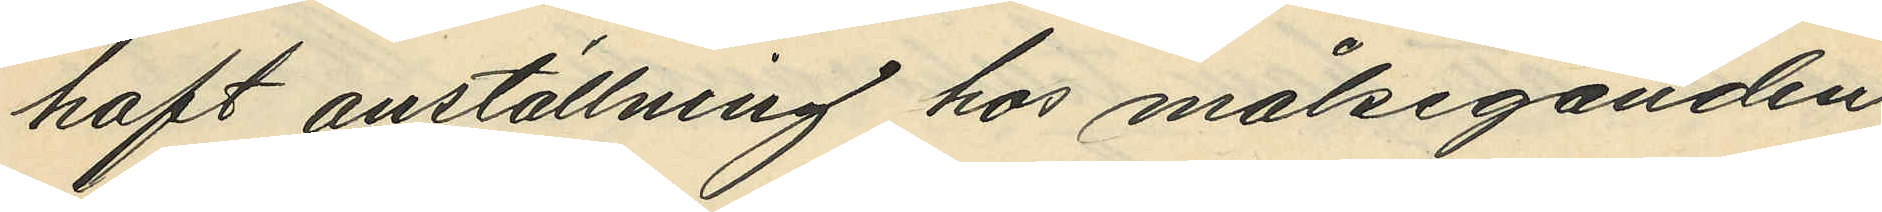haft anställning hos målseganden
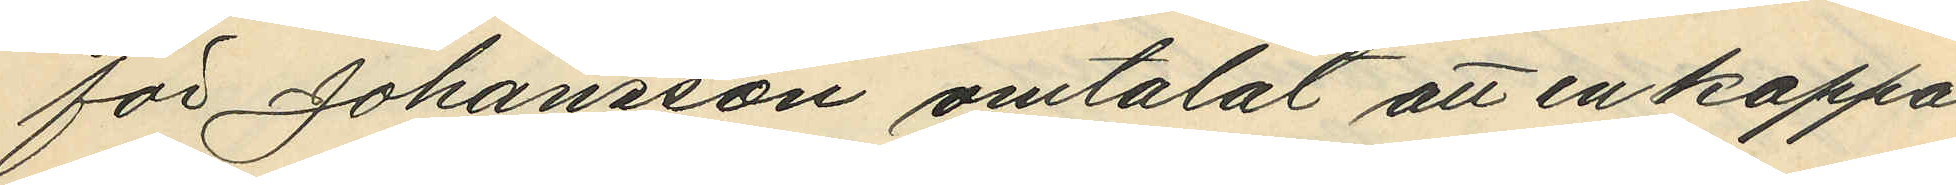för Johansson omtalat att en kappa
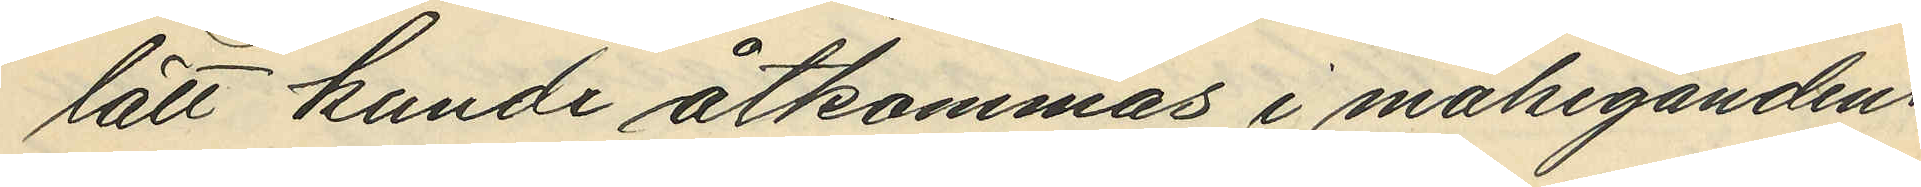lätt kunde åtkommas i målsegandens
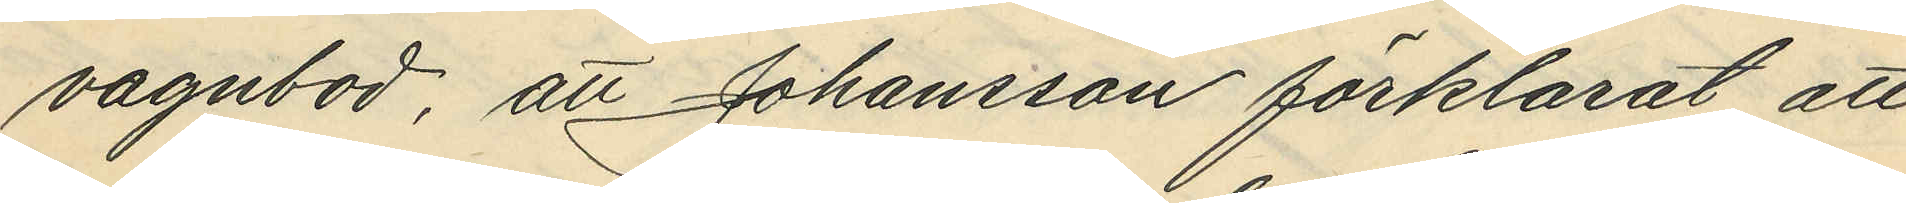vagnbod, att Johansson förklarat att
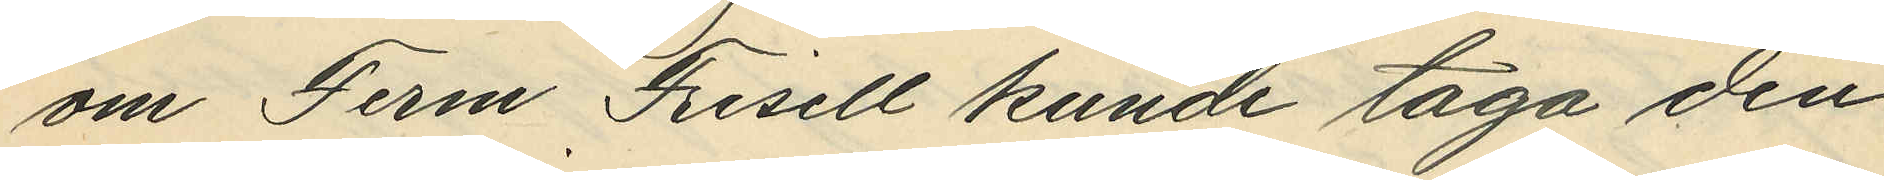om Ferm Frisell kunde taga den
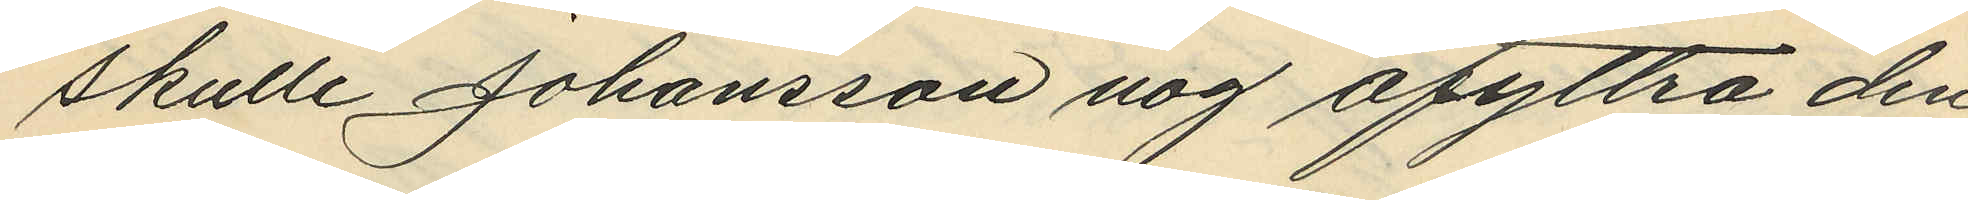skulle Johansson nog afyttra den¬
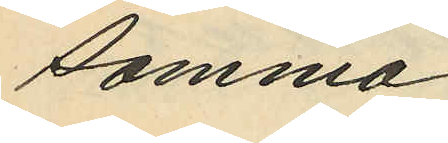samma,
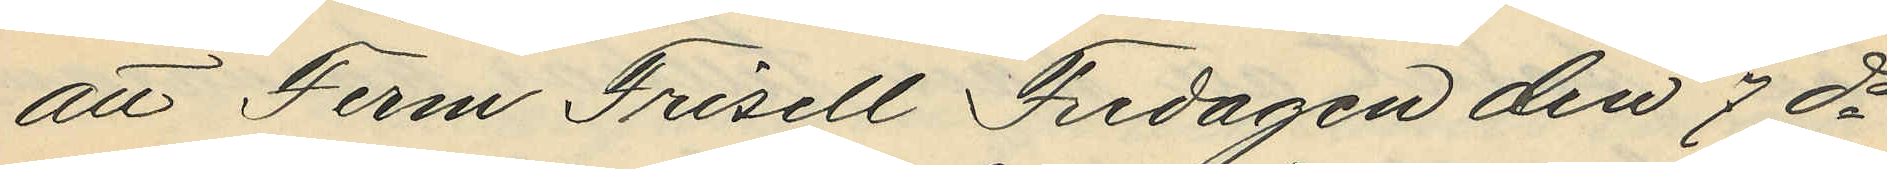att Ferm Frisell Fredagen den 7 ds
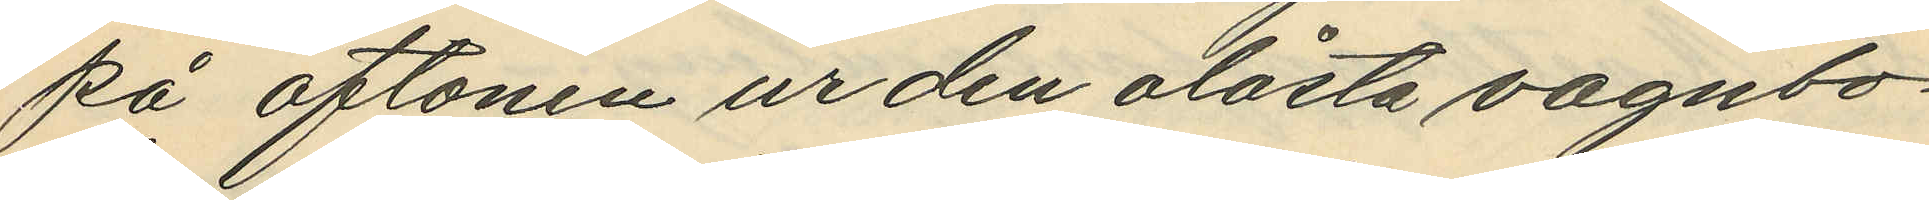på aftonen ur den olåsta vagnbo¬
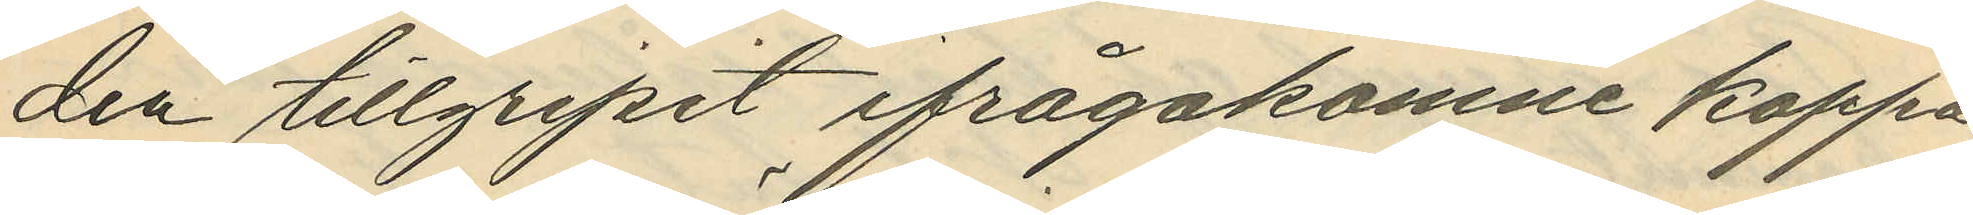den tillgripit ifrågakomne kappa,
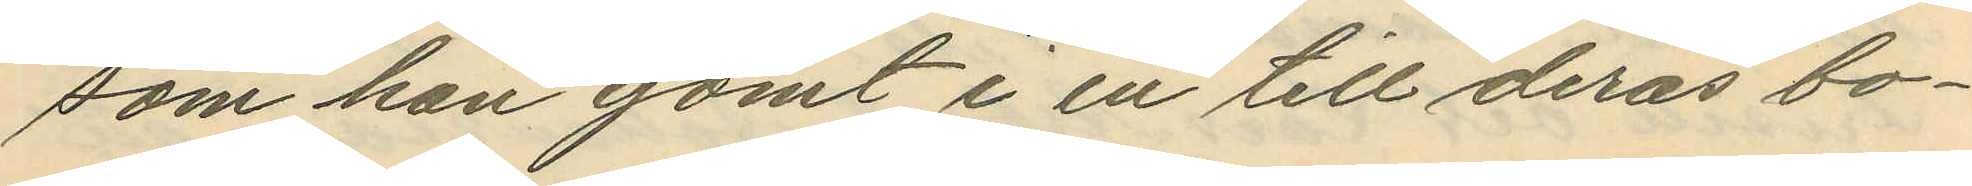som han gömt i en till deras bo¬
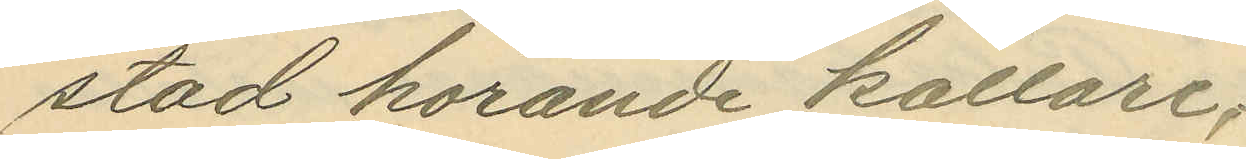stad horande källare,
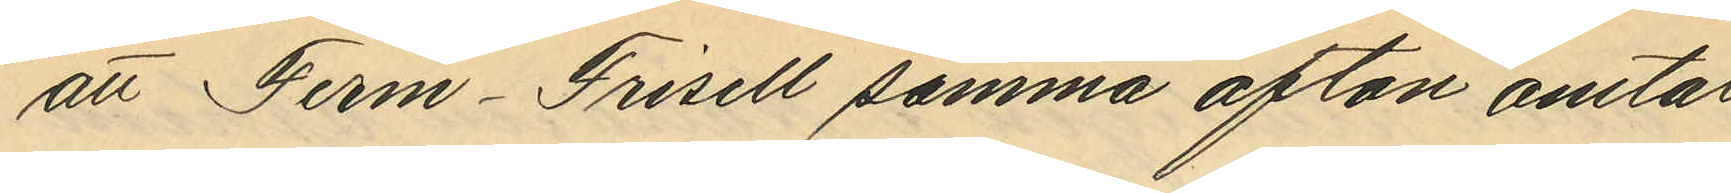att Ferm-Frisell samma afton omtalat
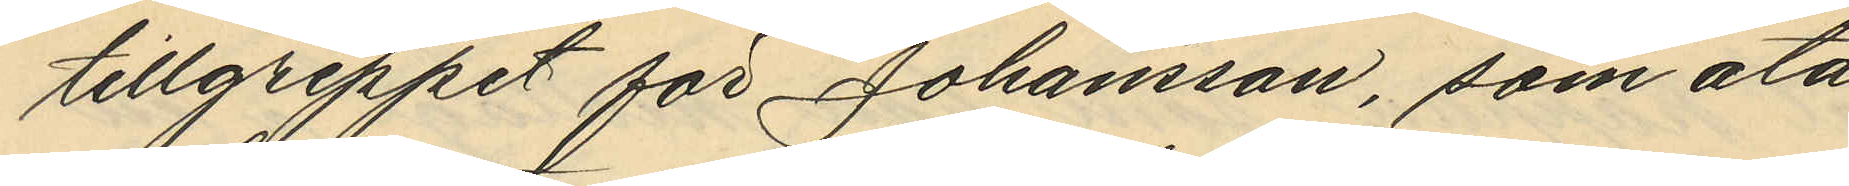tillgreppet för Johansson, som åta¬
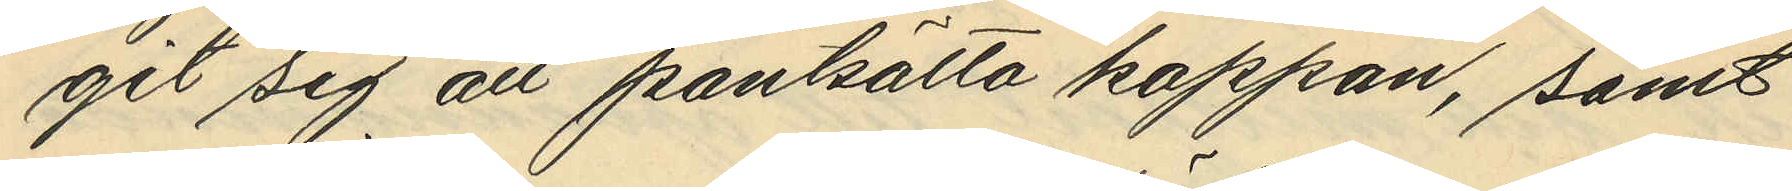git siga att pantsätta kappan, samt
